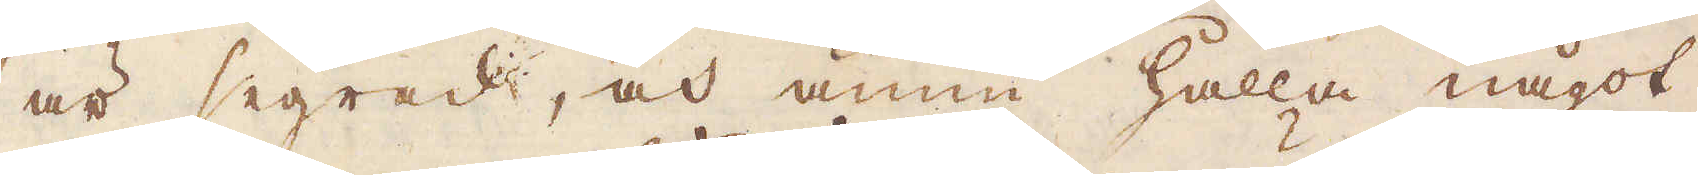är segrad, och ännu hålla något
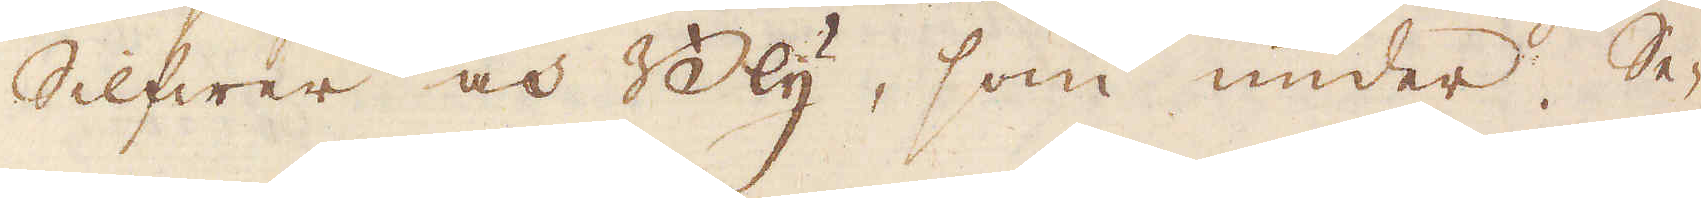Silfwer och Bly, som under Se-
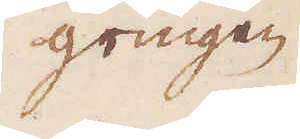gringen
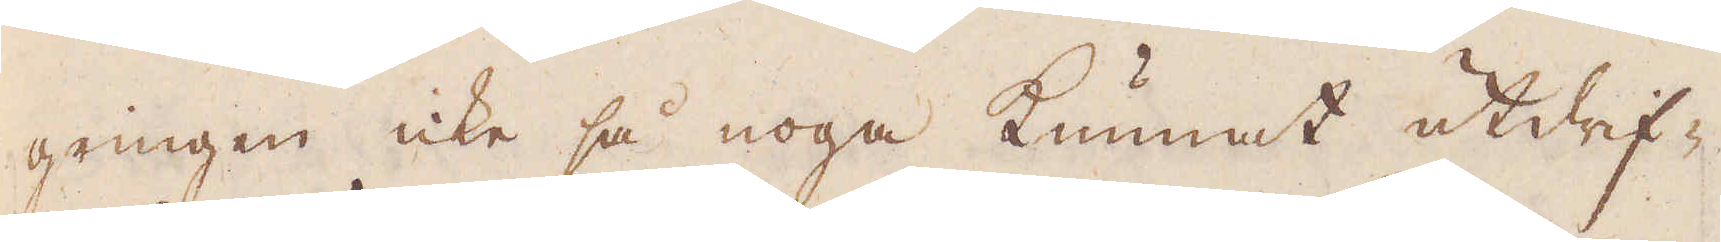gringen icke så noga kunnat utdrif-
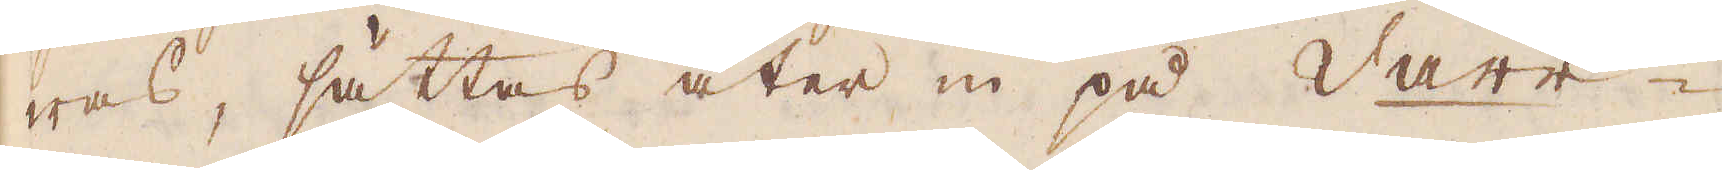was, sättas åter in på Varr-
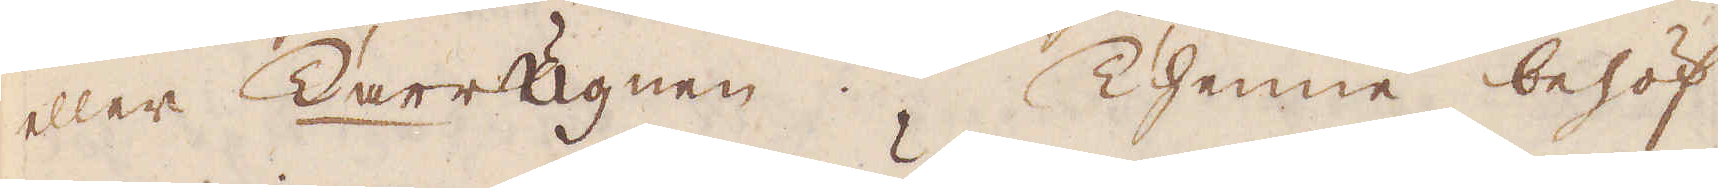eller Darrugnen. Thenne behöf-
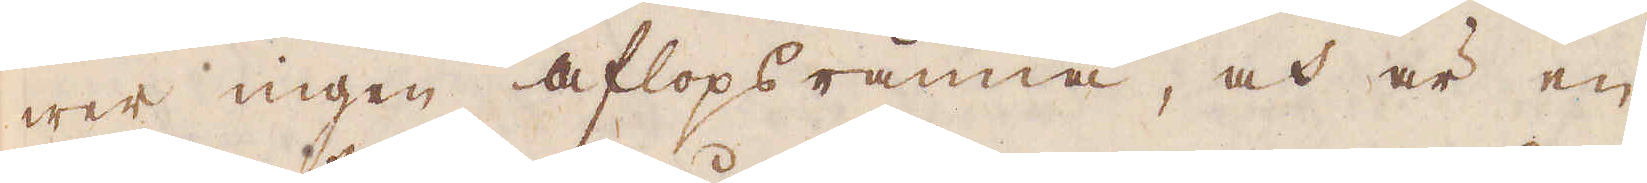wer ingen aflopsränna, och är en
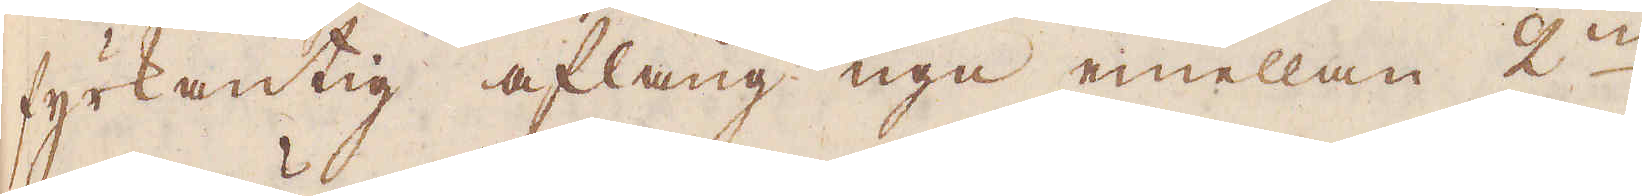fyrkantig aflång ugn emellan 2:ne
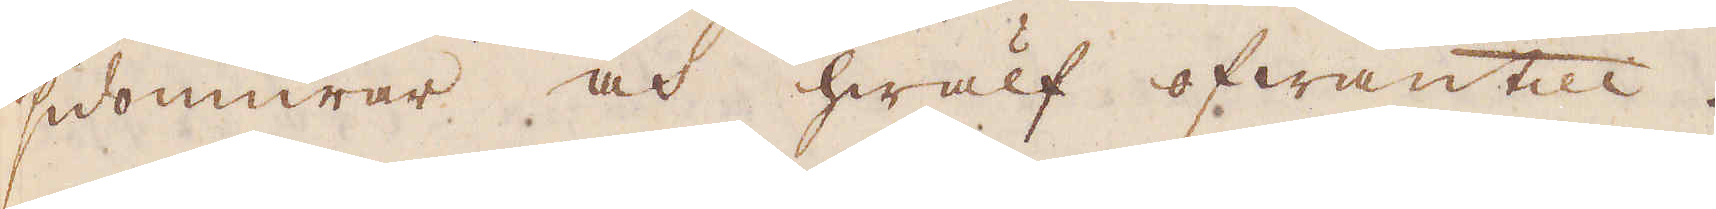sidomurar och hwälf ofwantill.
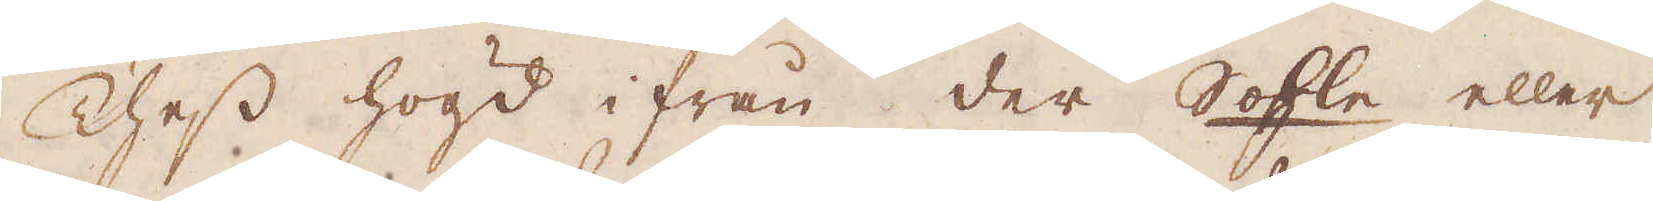Thess högd ifrån der Sohle eller
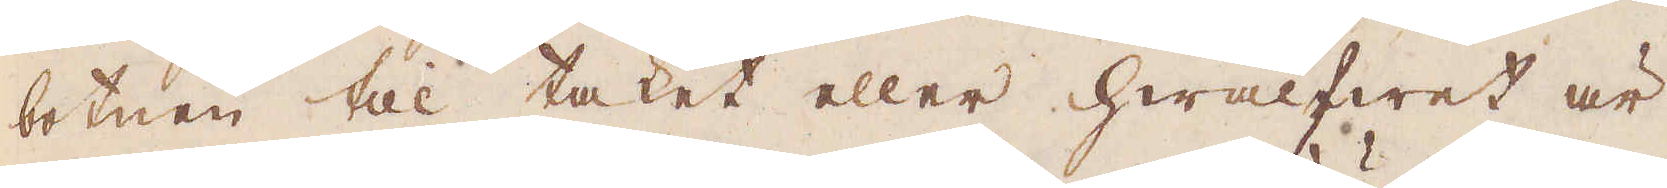botnen till taket eller hwalfwet är
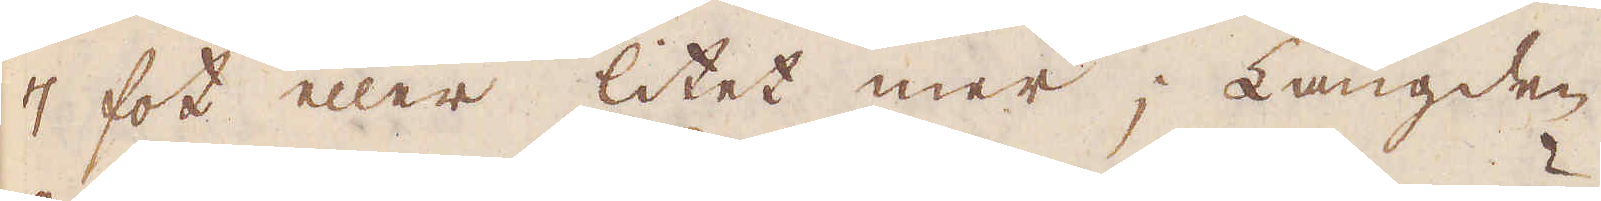7 fot eller litet mer; Längden
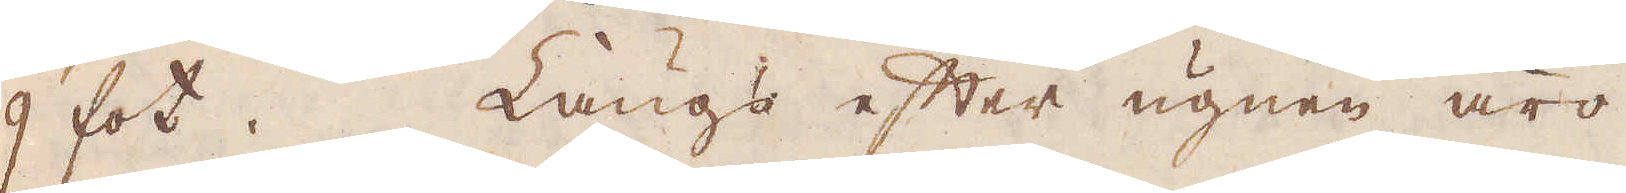9 fot. Längs efter ugnen äro
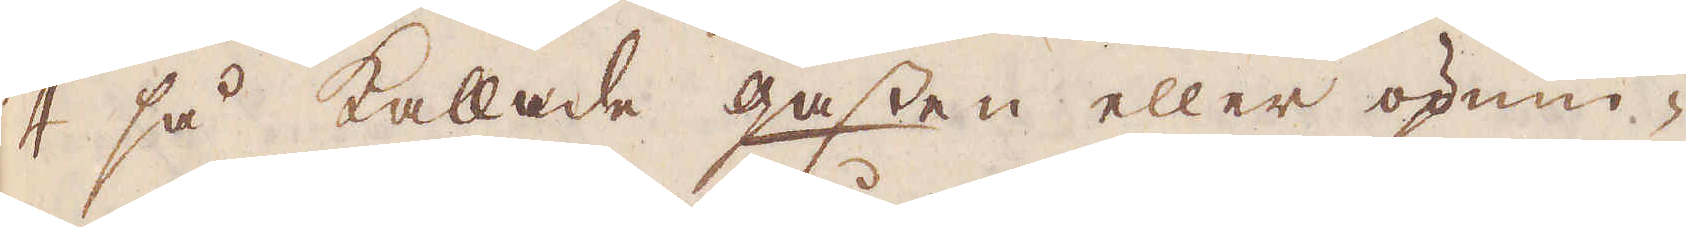4 så kallade gasten eller öpnin-
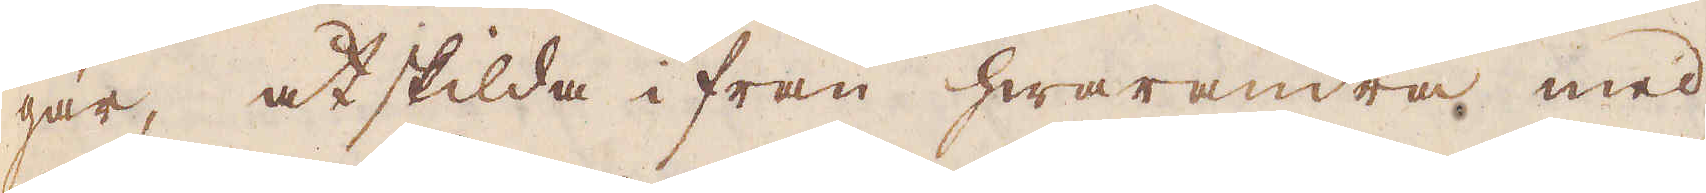gar, åtskilda ifrån hwarandra med
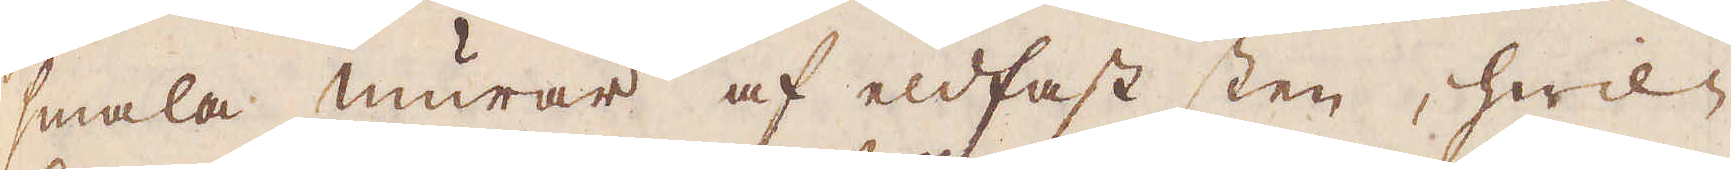smala murar af eldfast sten, hwil-
